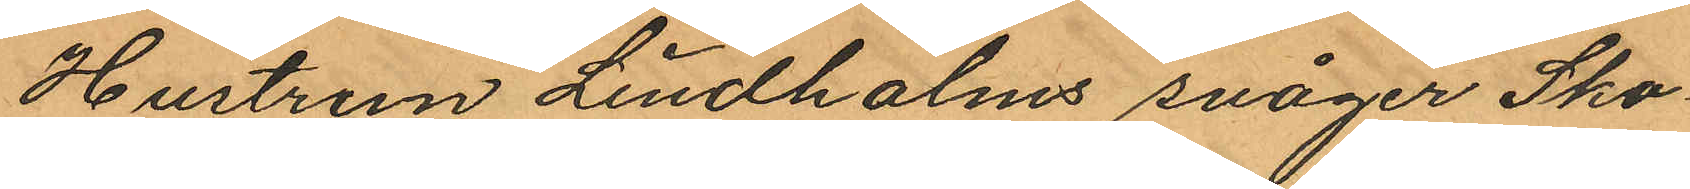Hustrun Lindholms svåger Sko¬
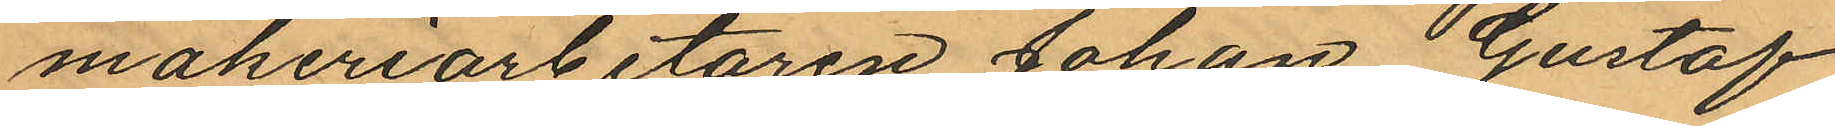makeriarbetaren Johan Gustaf
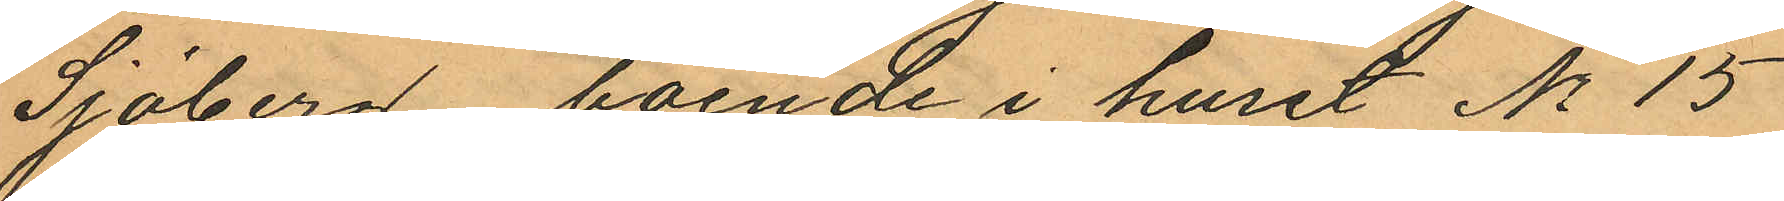Sjöberg, boende i huset No 15
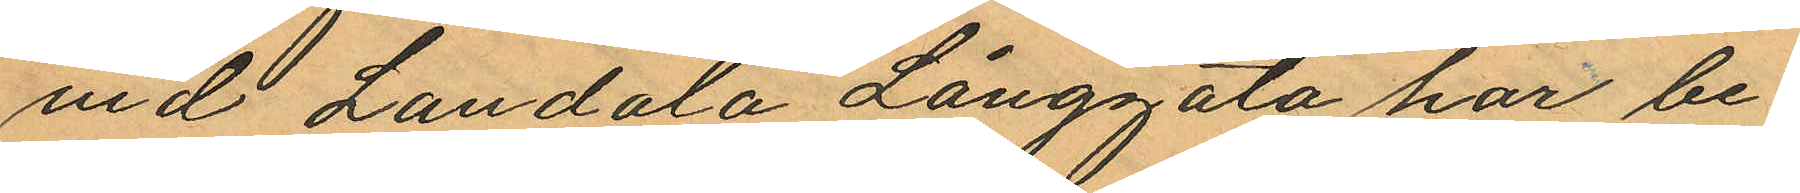vid Landala Långgata har be¬
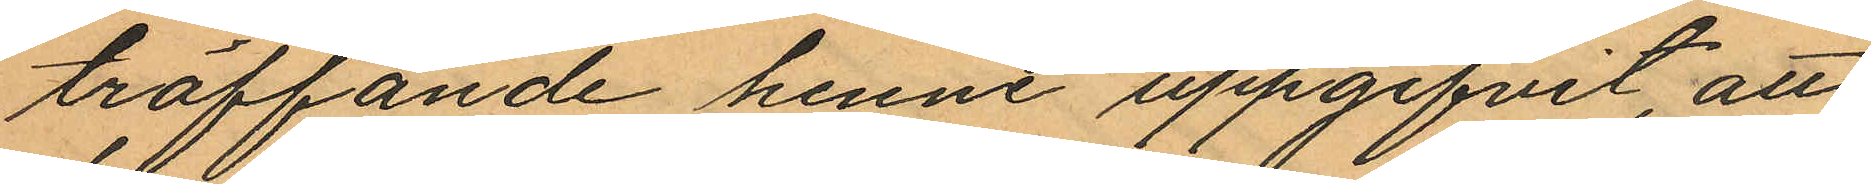träffande henne uppgifvit, att
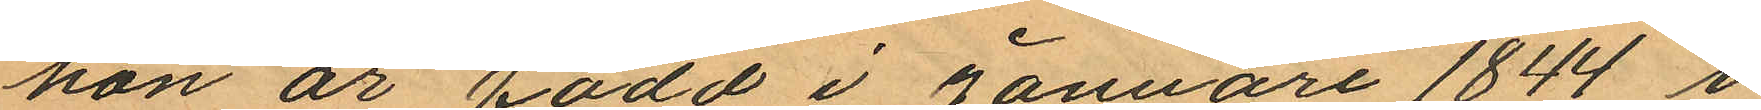hon är född i Januari 1844 i
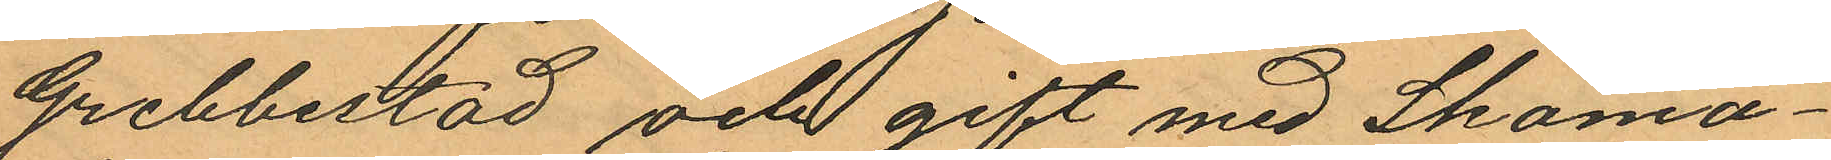Grebbestad och gift med Skoma¬
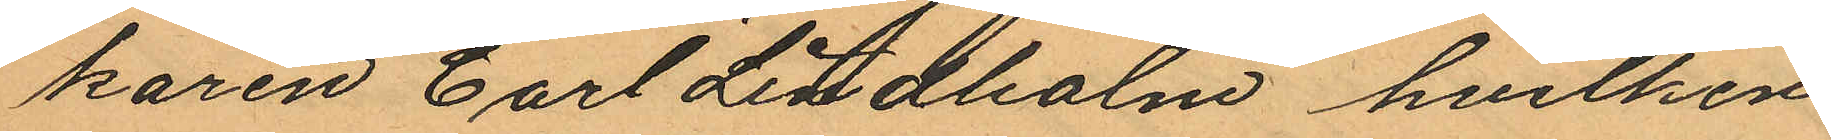karen Carl Lindholm hvilken
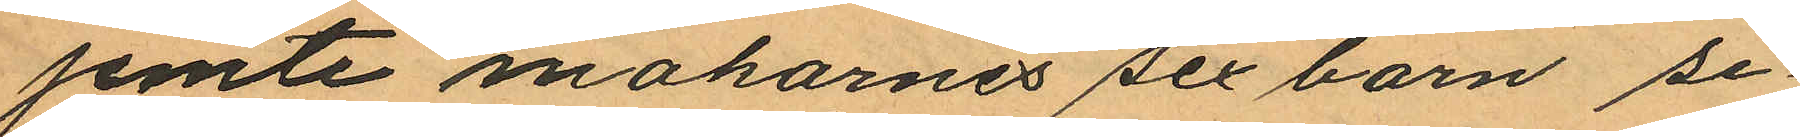jemte makarnes sex barn se¬
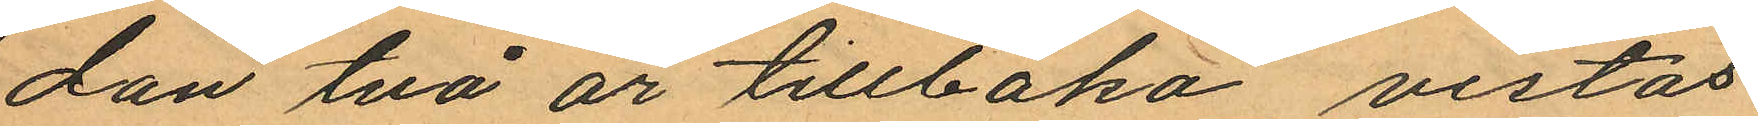dan två år tillbaka vistas
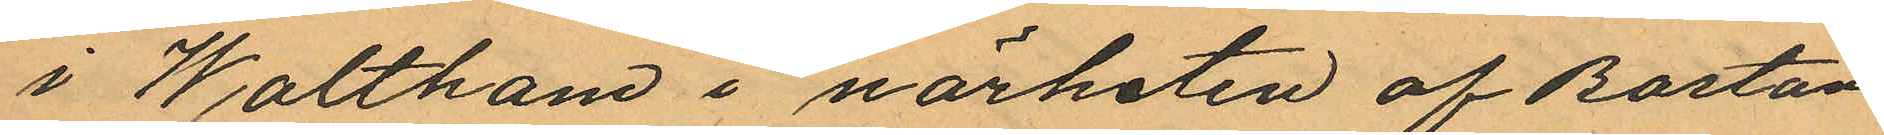i Waltham i närheten af Boston
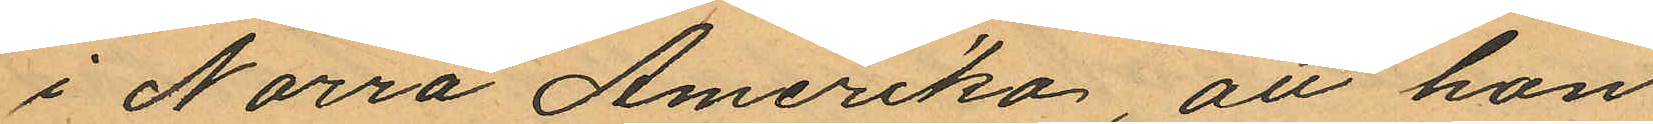i Norra Amerika, att hon,
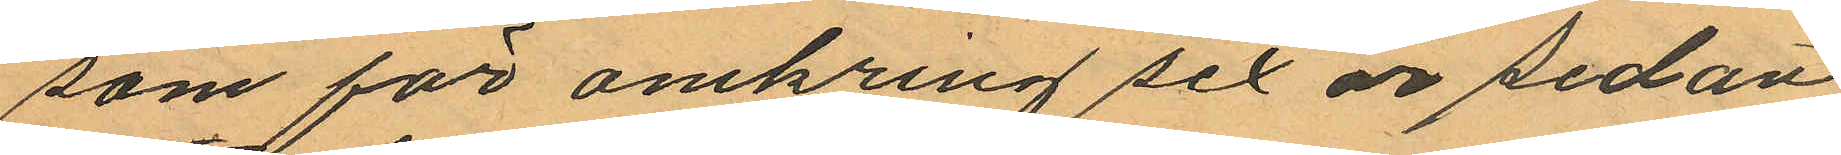som för omkring sex år sedan
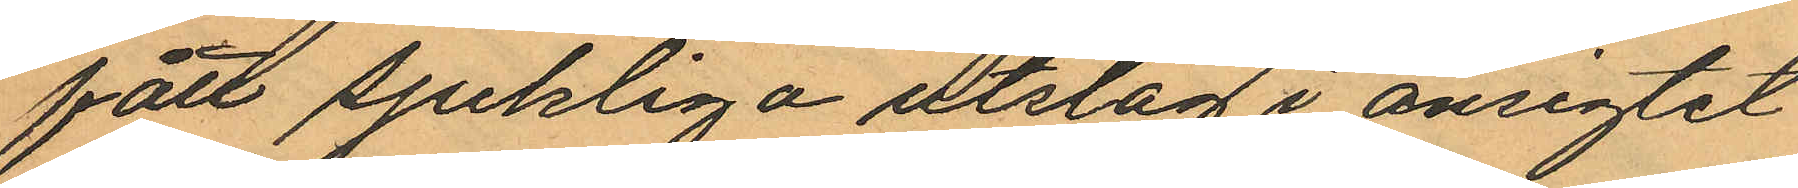fått sjukliga utslag i ansigtet
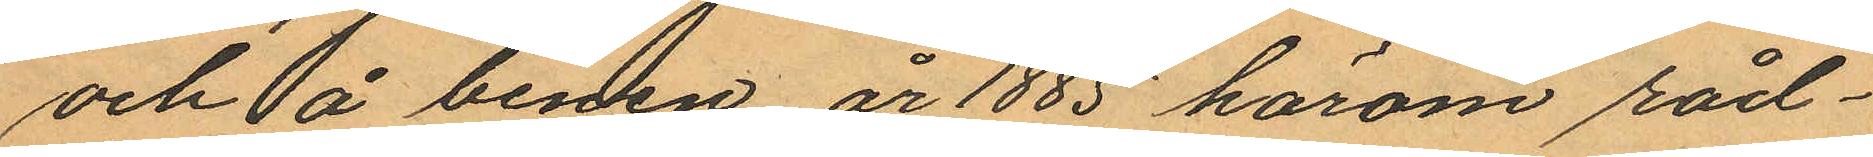och å benen, år 1885 härom råd¬
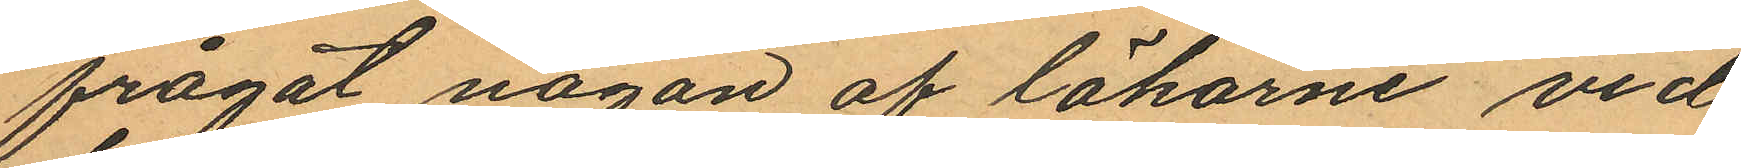frågat någon af läkarne vid
